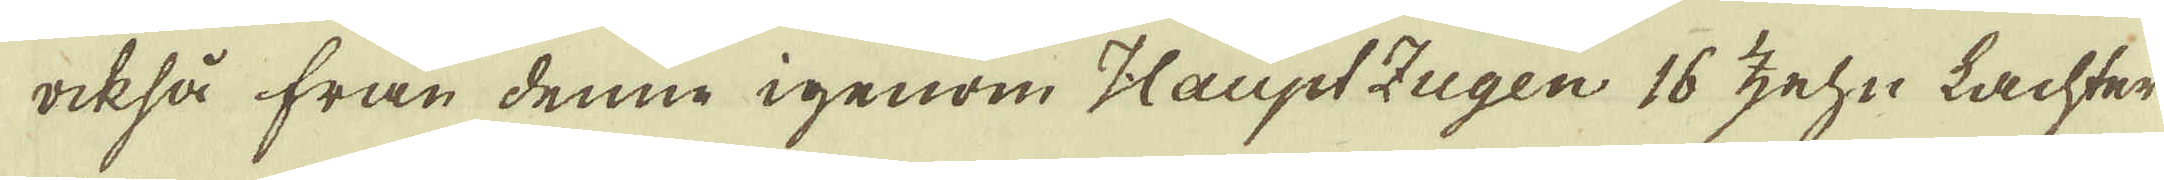också från denne igenom Haupt Zugen 16 zehn Lachter
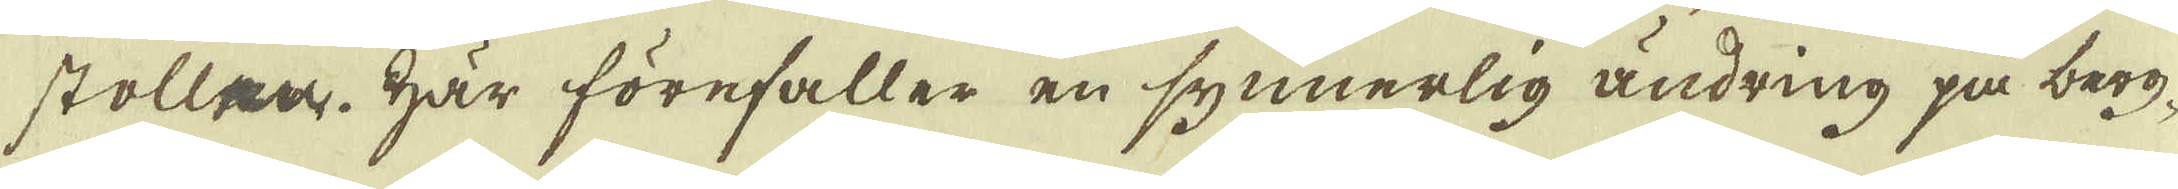stollen. Här förefaller en synnerlig ändring på berg-
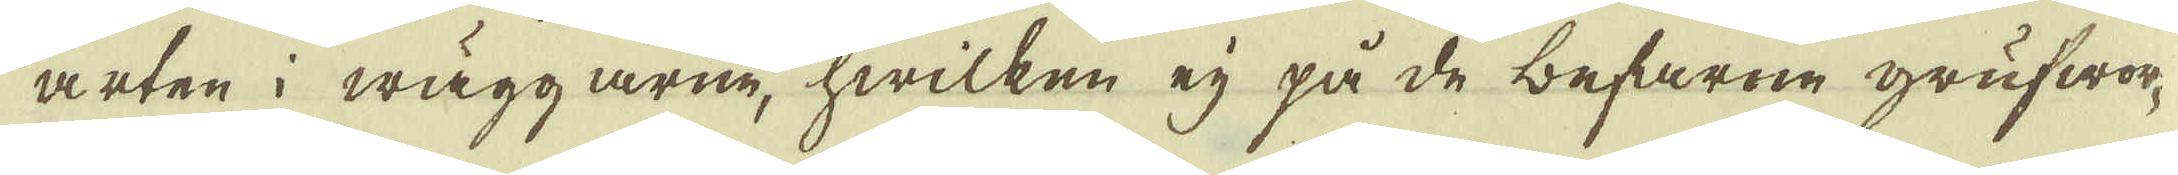arten i wäggarne, hwilken eij på de befarne grufwor-
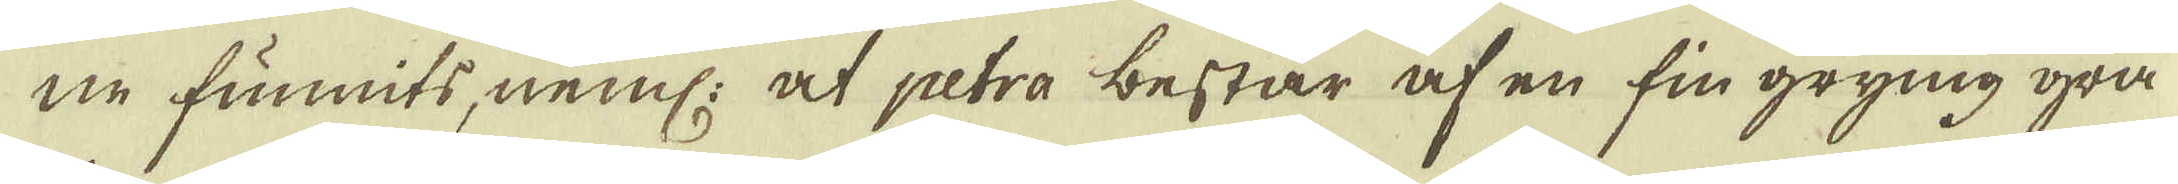ne funnits, neml: at petra består af en fin grynig grå
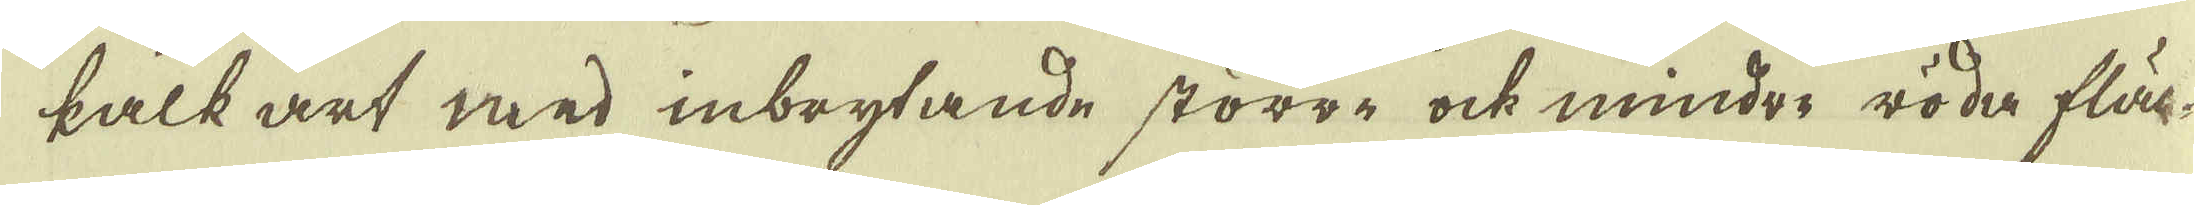kalk art med inbrytande större ock mindre röda fläc-
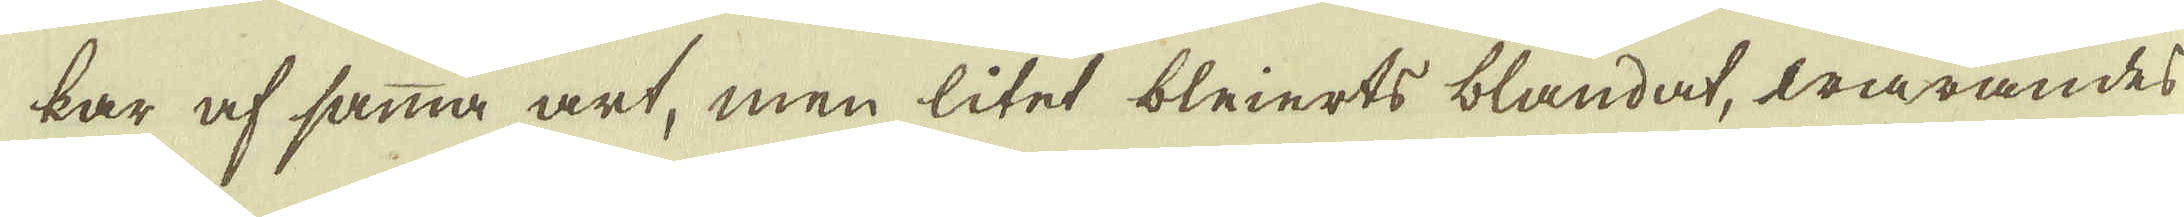kar af samma art, men litet bleierts blandat, warandes
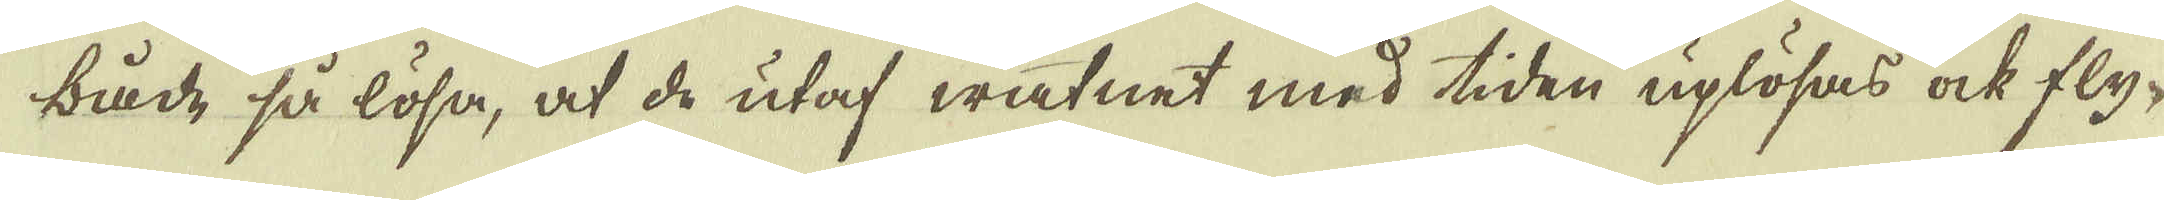både, så lösa, at de utaf watnet med tiden uplösas ock fly-
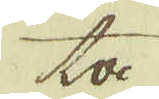ta
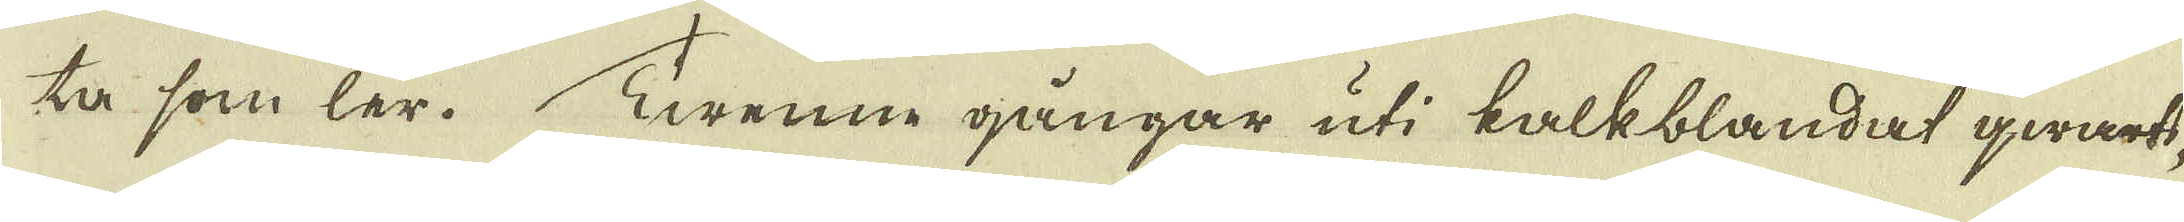ta som ler. Twenne gångar uti kalkblandat qwarts-
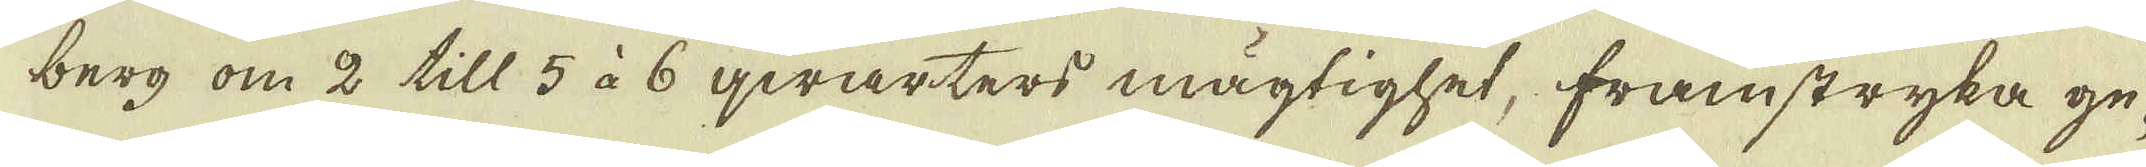berg om 2 till 5 à 6 qwarters mägtighet, framstryka ge-
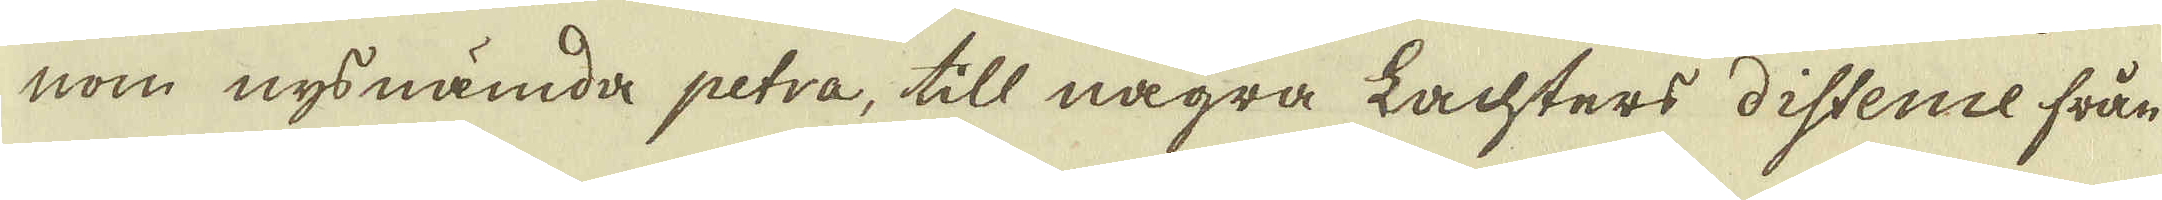nom nys nämda petra, till några Lachters distence från
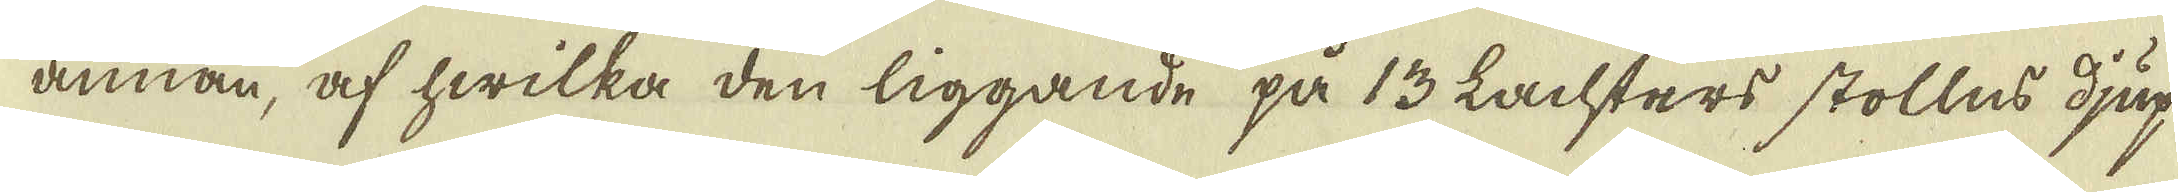annan, af hwilka den liggande på 13 Lachters stollns djup
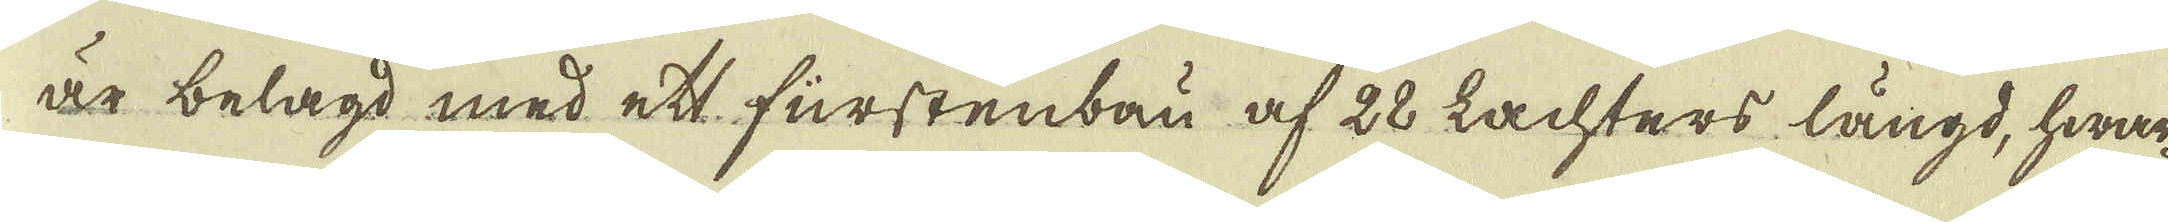är belagd med ett fürstenbau af 28 Lachters längd, hwar-
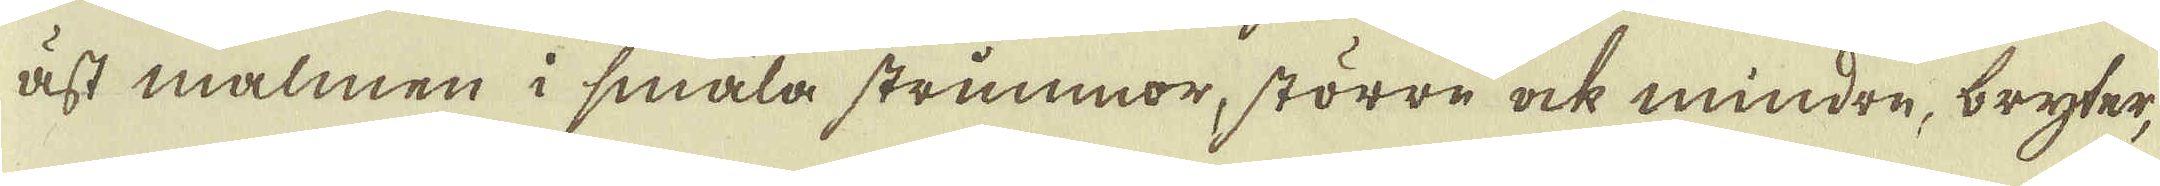äst malmen i smala strimmor, större ock mindre, bryter,
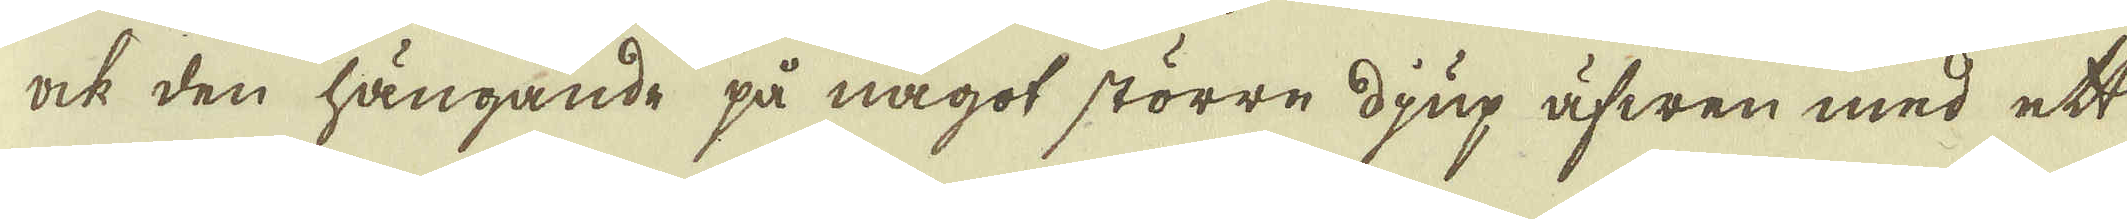ock den hängande på något större djup äfwen med ett
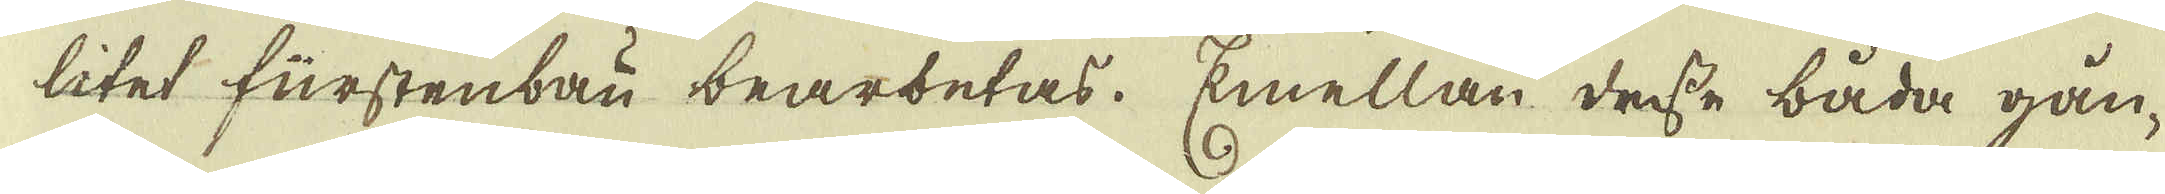litet furstenbau bearbetas. Emellan desse båda gån-
